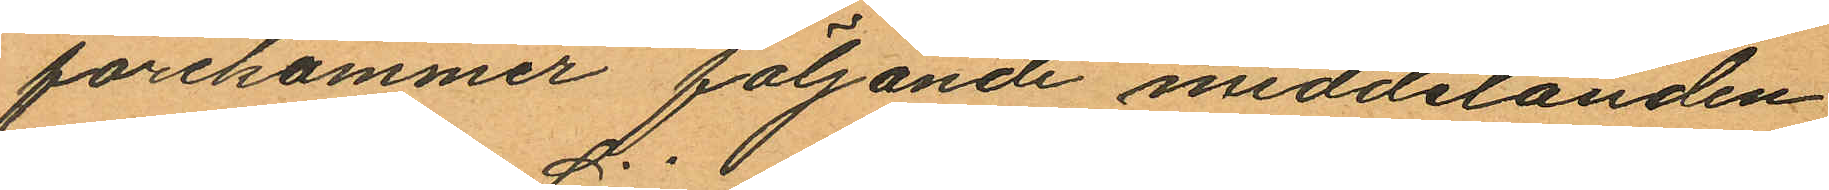förekommer följande meddelanden
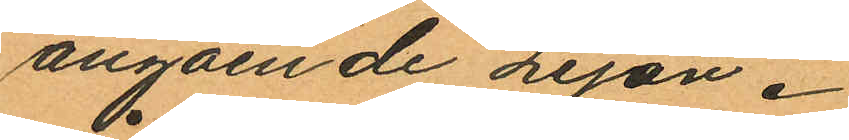angående Lejon.
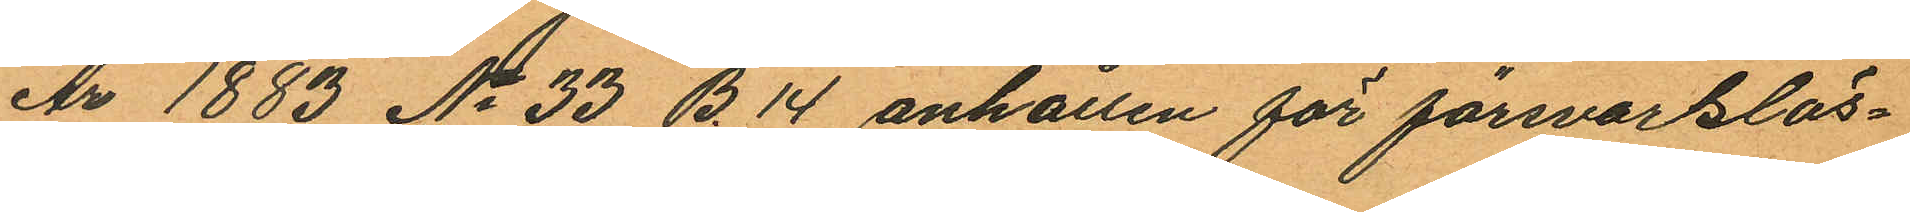År 1883 No 33 B. 14 anhållen för försvartlös¬
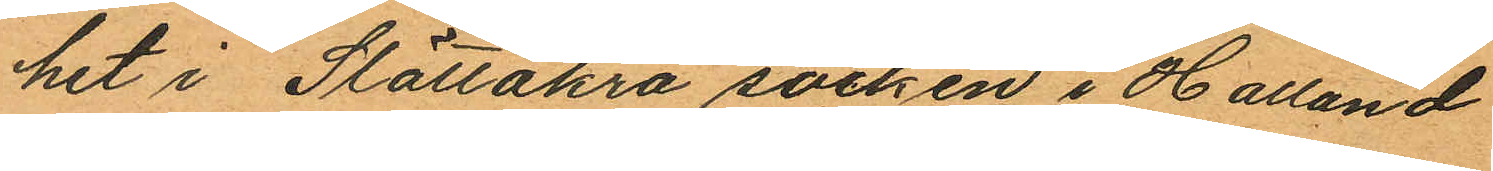het i Slättåkra socken i Halland
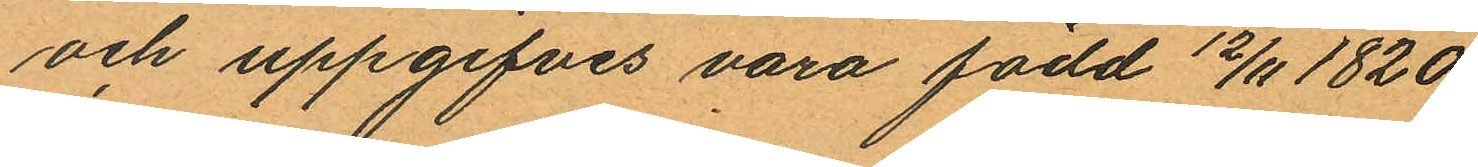och uppgifves vara född 12/11 1820
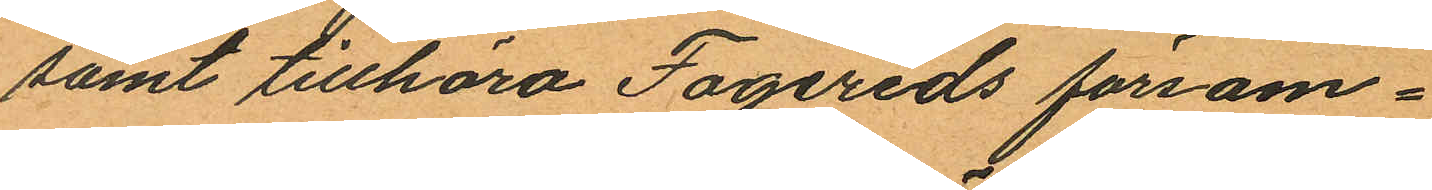samt tillhöra Fagereds försam¬
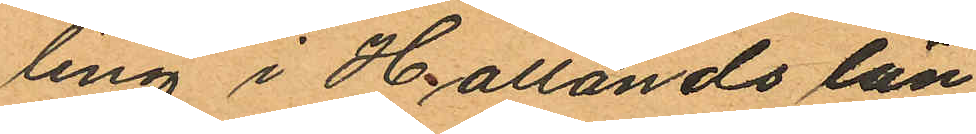ling i Hallands län
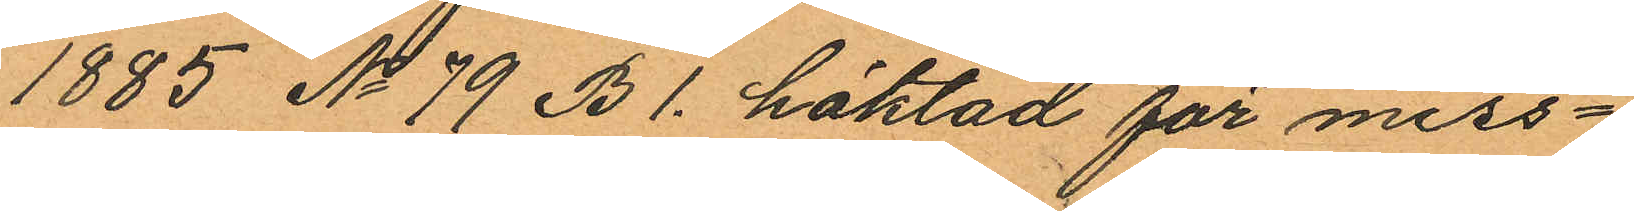1885 No 79 B1. häktad för miss¬
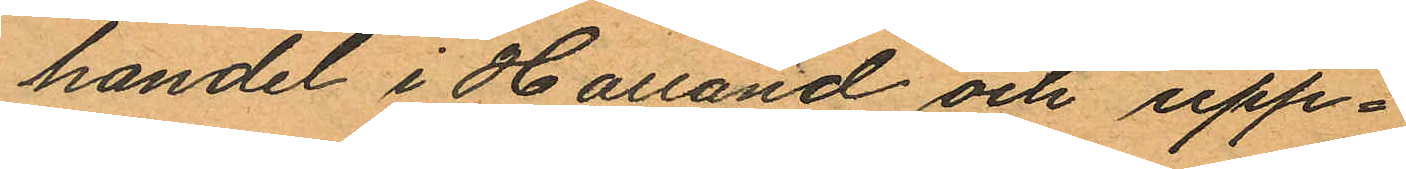handel i Halland och upp¬
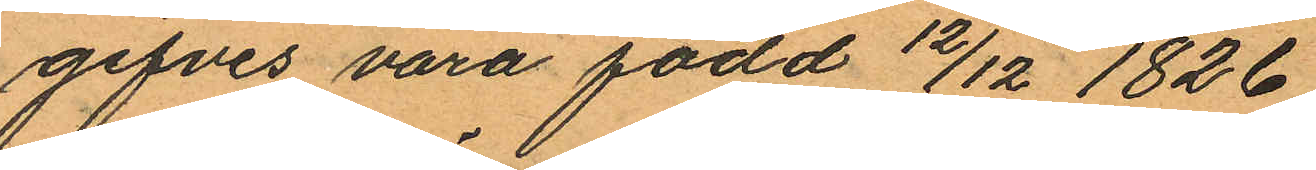gifves vara född 12/12 1826
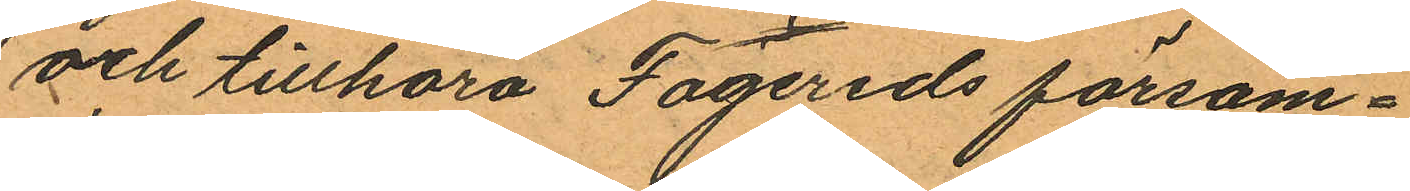och tillhöra Fagereds försam¬
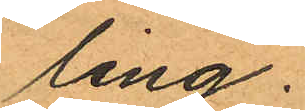ling.
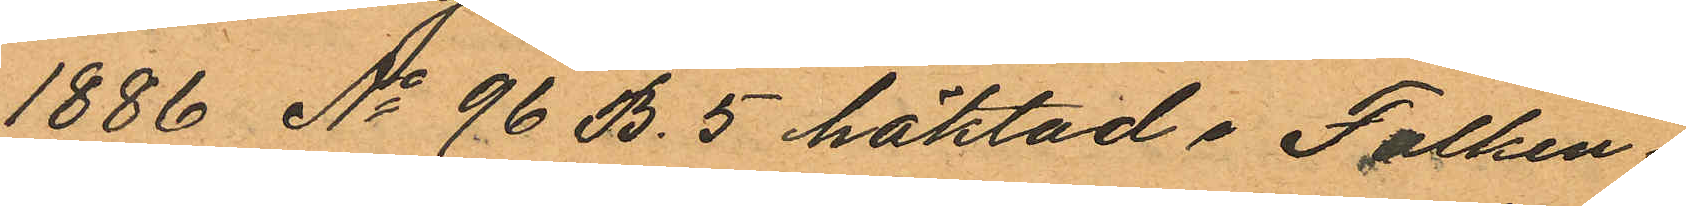1886 No 96 B. 5 häktad i Falken¬
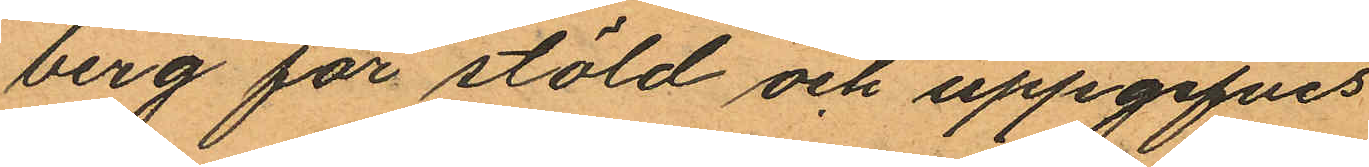berg för stöld och uppgifves
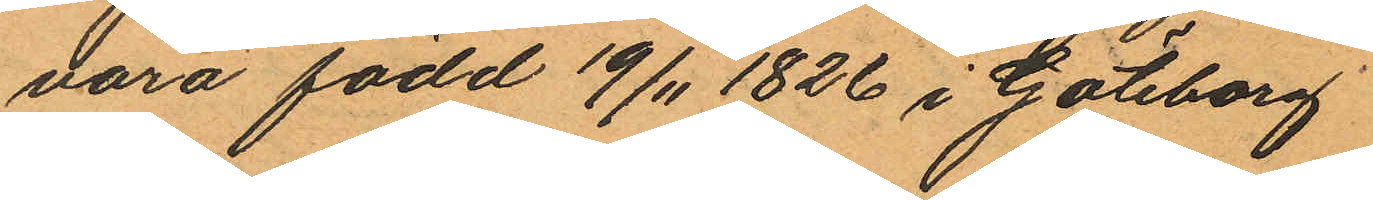vara född 19/11 1826 i Göteborg
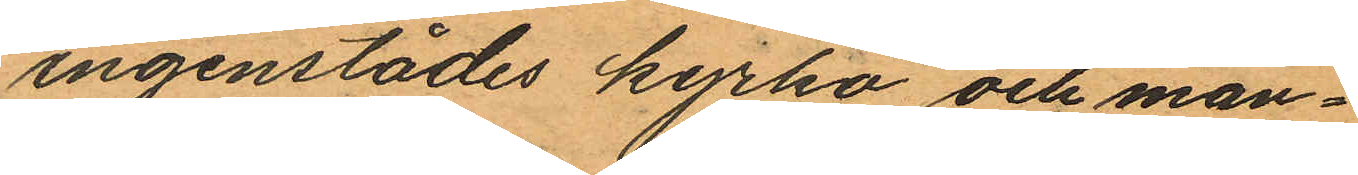ingenstädes kyrko och man¬
